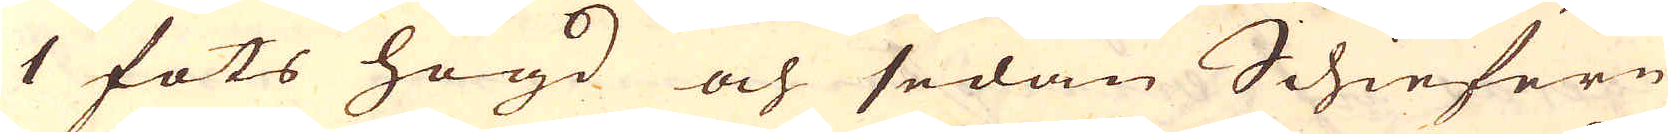1 fots högd och sedan Schiefern
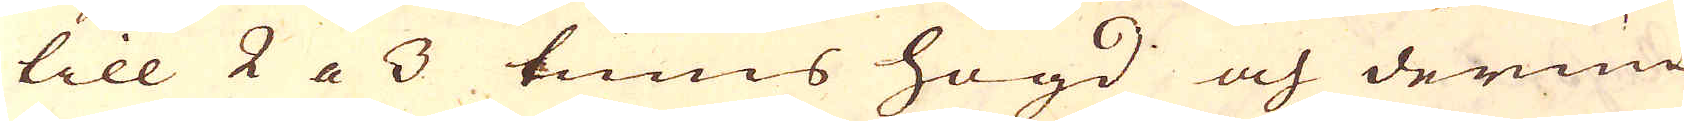till 2 a 3 tums högd och derinun-
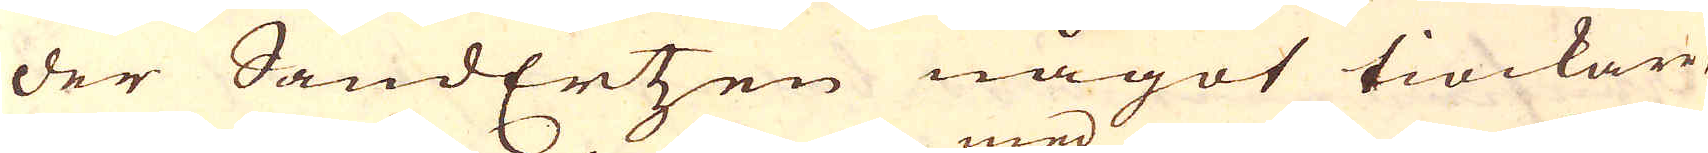der SandErtzen något tiockare
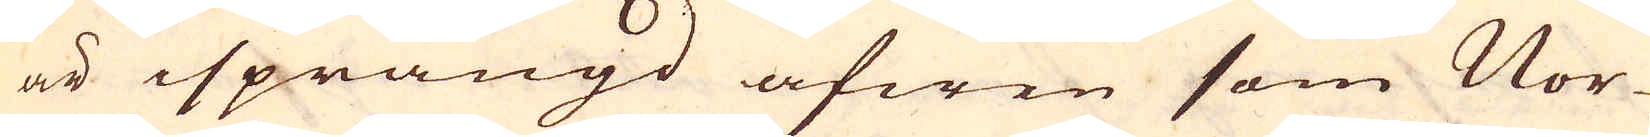är isprängd äfwen som Nor-
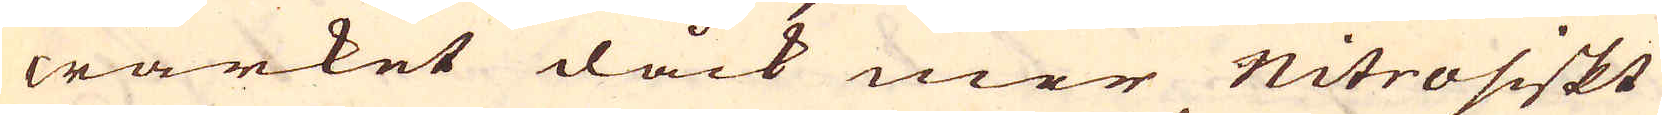wärket dåck mer Nitrosiskt
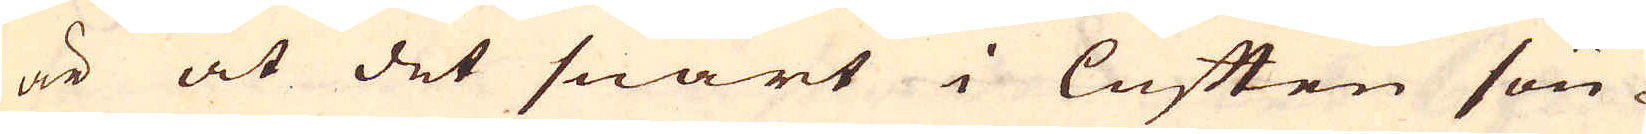är at det snart i luften sön-
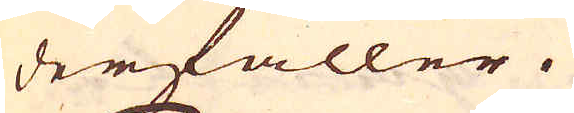derfaller.
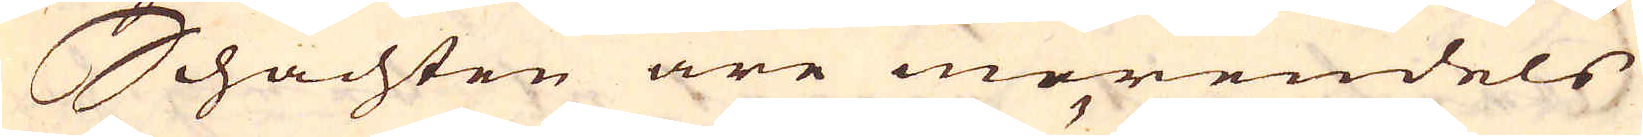Schachten äre merendels
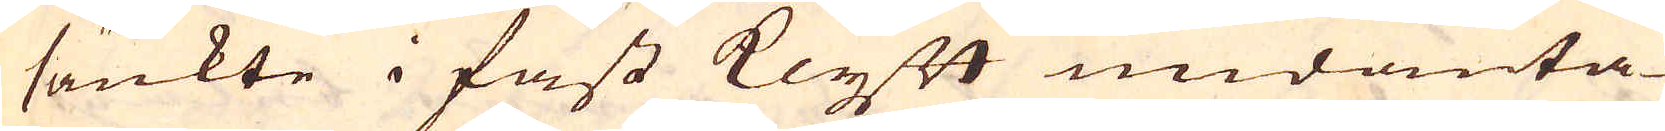sänkte i fast Klyft undanta-
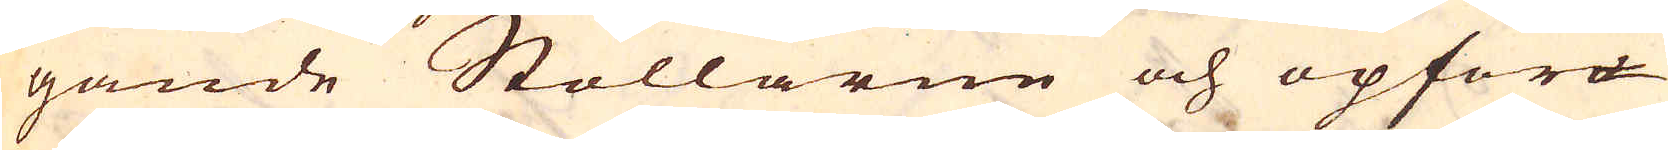gande Stollarne och opfor-
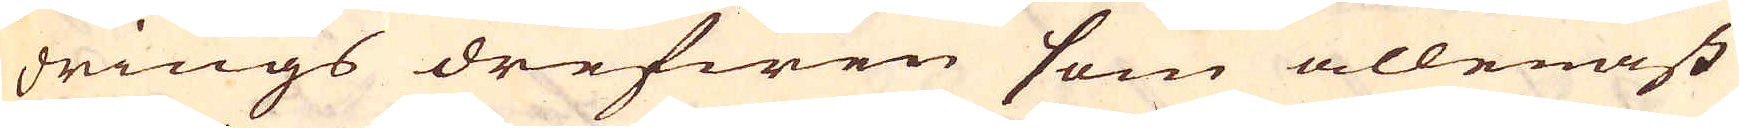drings drefwen som allenast
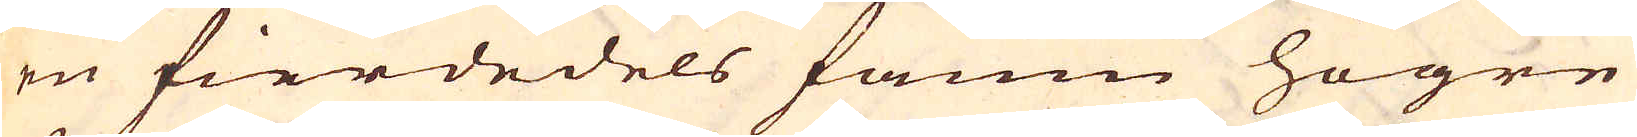en fierdedels famn högre
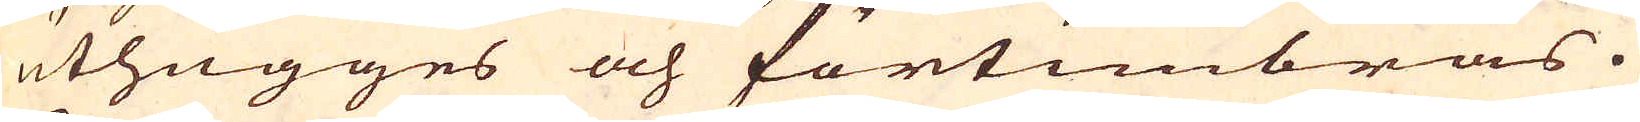uthugges och förtimbras.
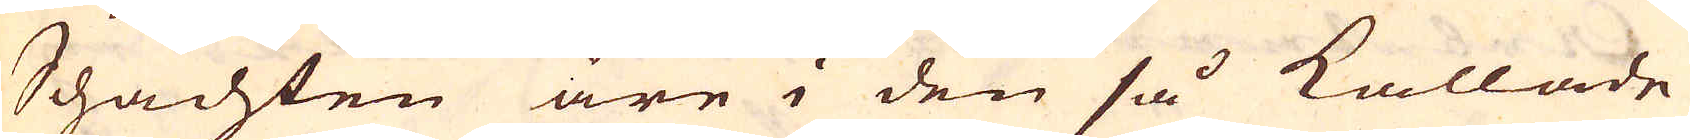Schachten äre i den så kallade
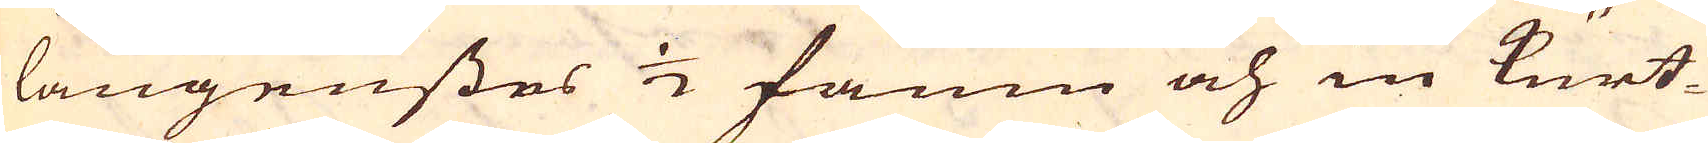langenstes 1/2 famn och in Kurt-
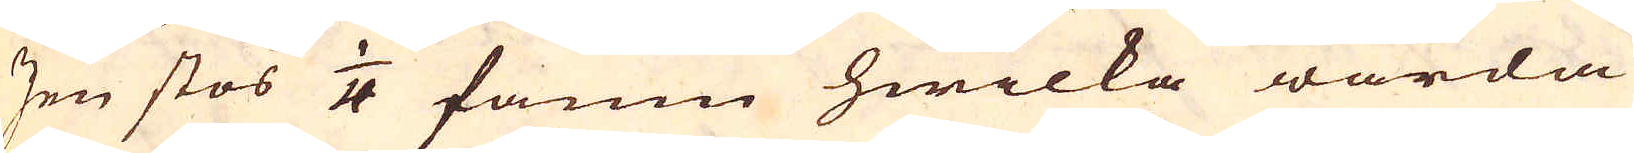zen stos 1/4 famn hwilka warda
